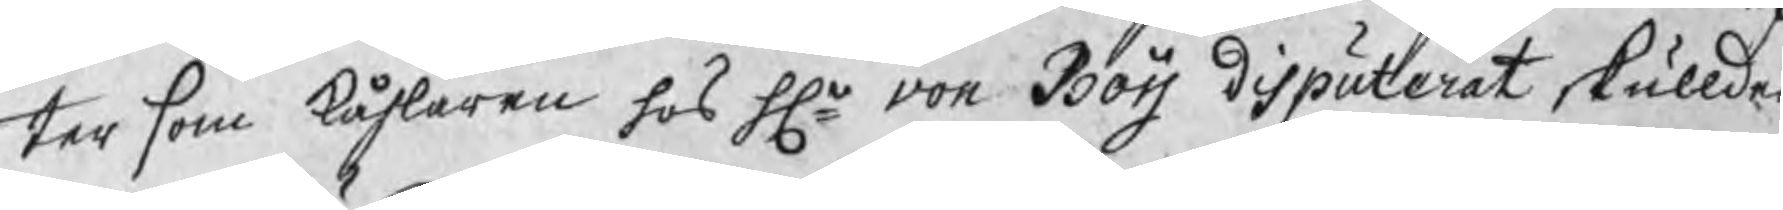ter som kåhlaren hos Hr von Boij disputerat skullden
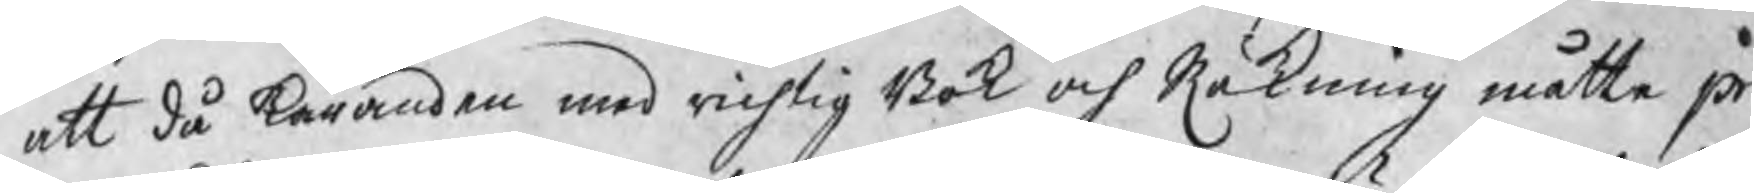att då kiäranden med richtig Bok och Räkning måtte pr
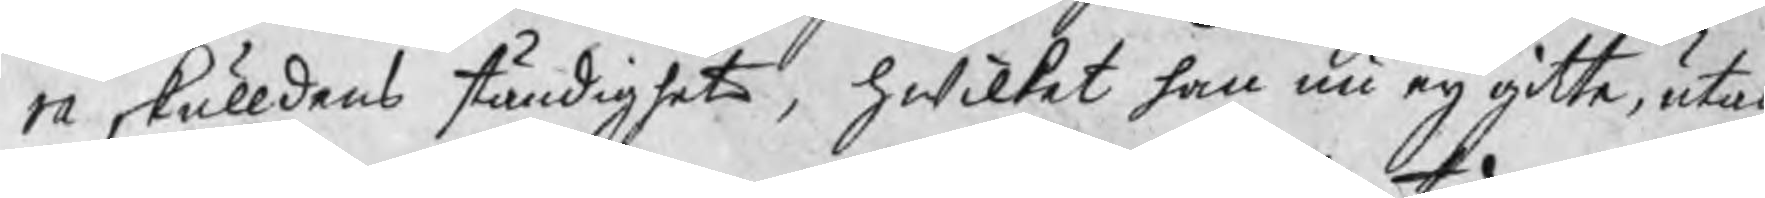ra skulldens ständighet, hwilket han nu eij gitte, utan
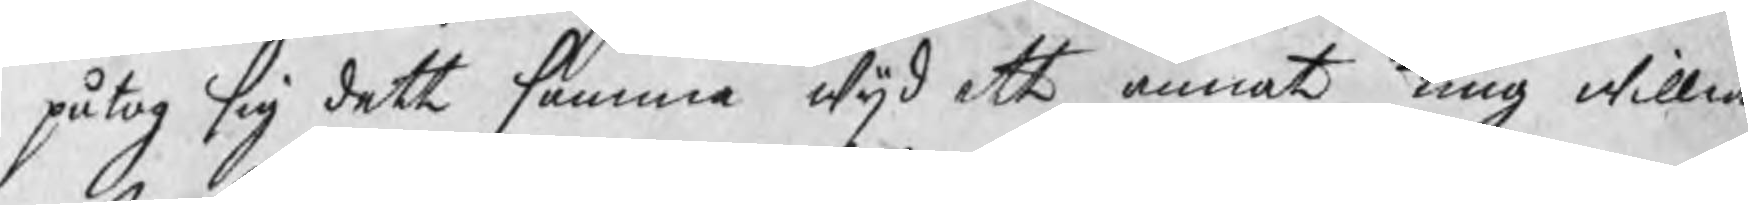påtog sig dett samma wijd ett annat ting willia
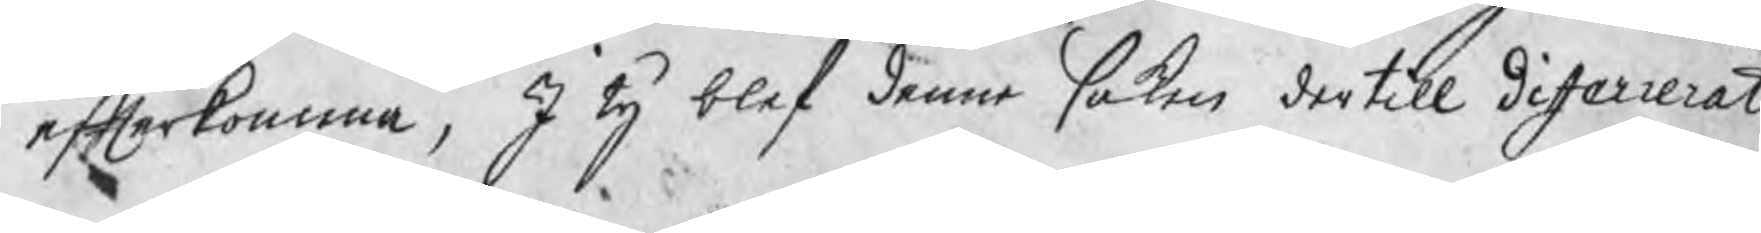efterkomma, I ty blef denne saken dertill diferrerat.
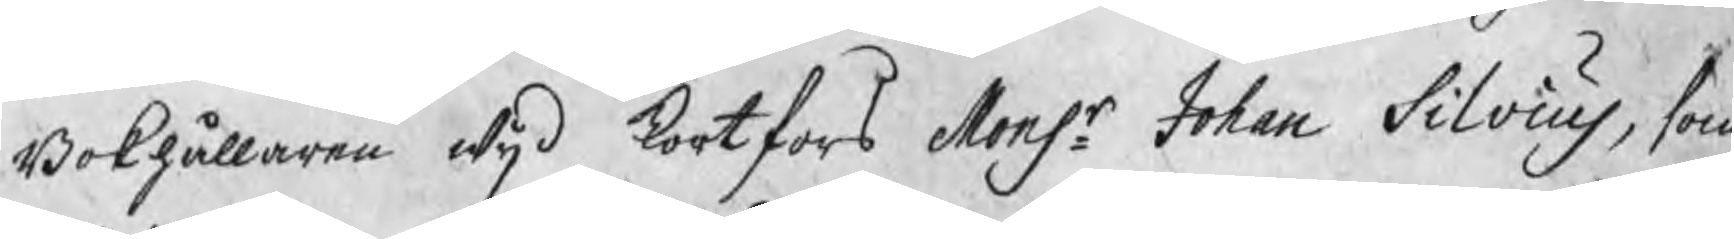Bokhållaren wijd Kortfors Monsr. Johan Silvius, som
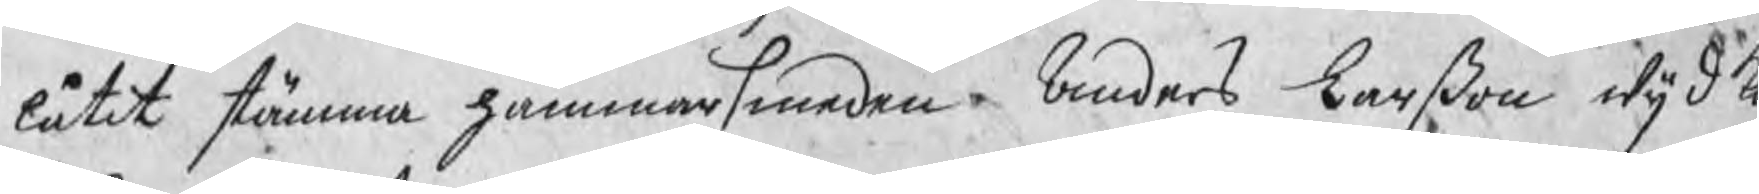låtit stämma hammarsmeden Anders Larßon wijd K
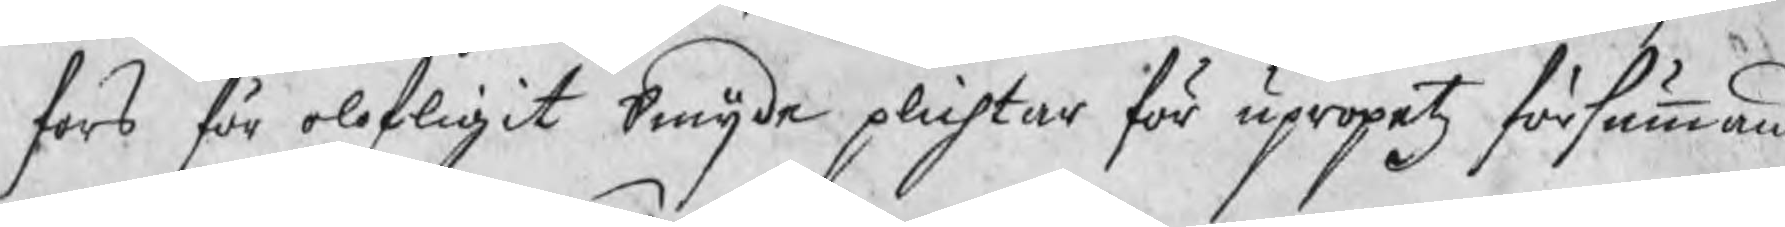fors för olofligit Smijde plichtar för upropetz försumman
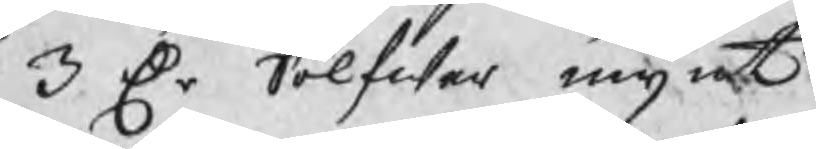3 Dr Sölfwer mynt
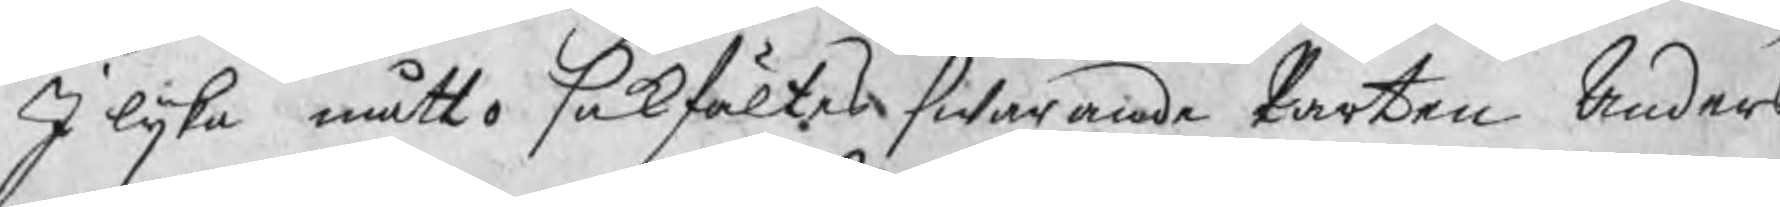I lijka måtto sakfältes swarande Parten Anders
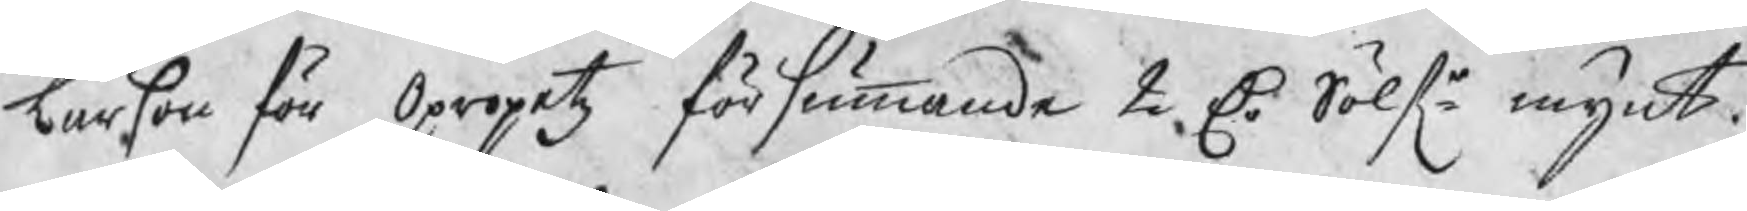Larßon för Opropetz försummande 2 Dr Sölfr mynt.
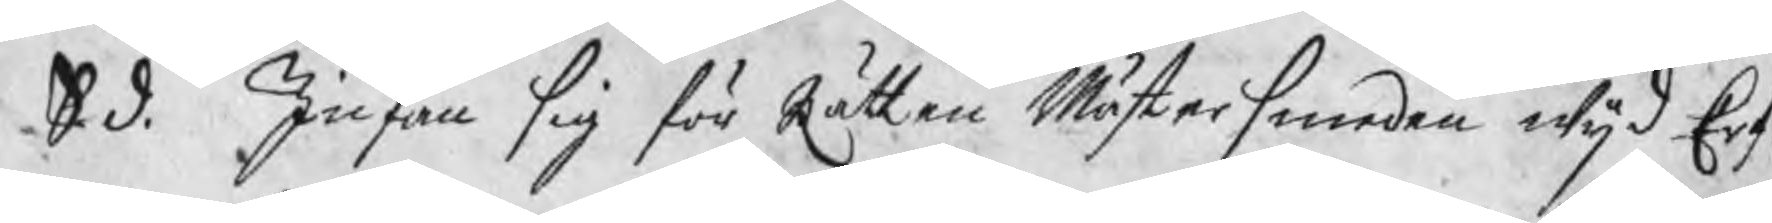S. d. Infan sig för Rätten Mästersmeden wijd Erf
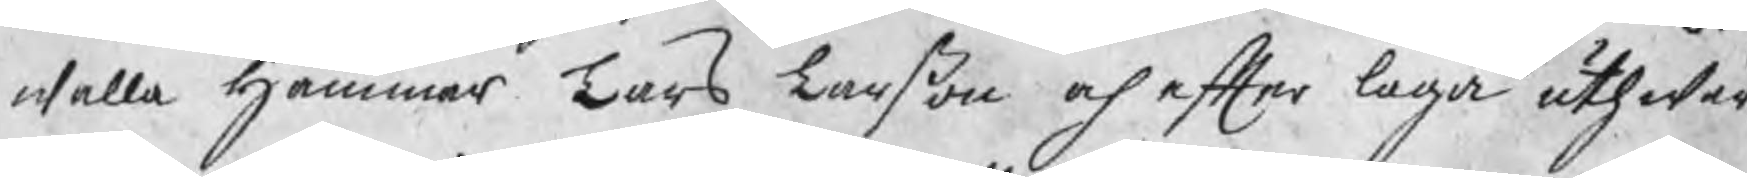walla Hammar Lars Larßon och efter laga uthwär¬
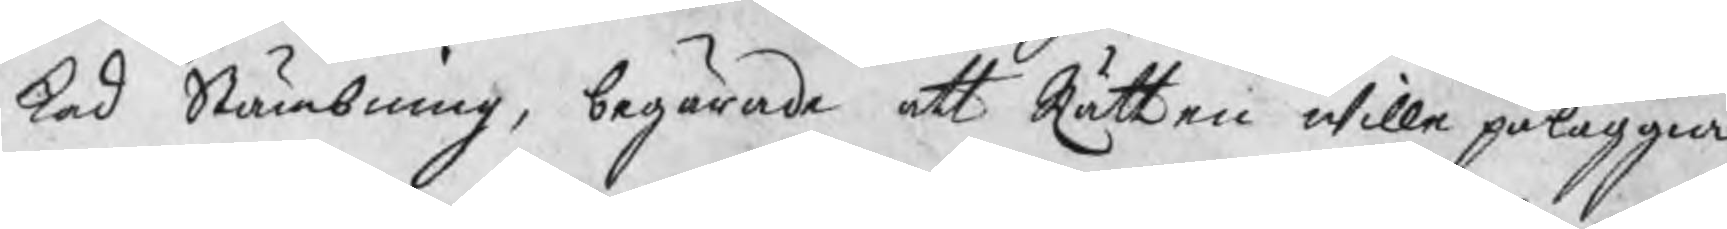kad Stämbning, begärade att Rätten wille påläggia
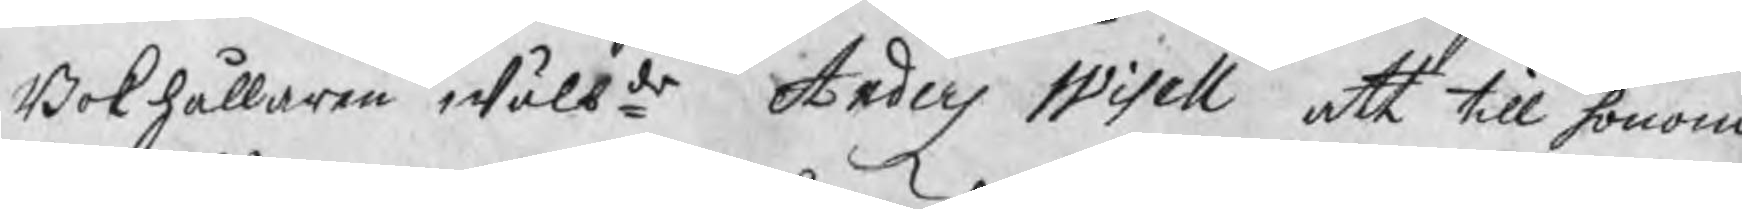Bokhållaren wälbde Anders Wisell att till honom
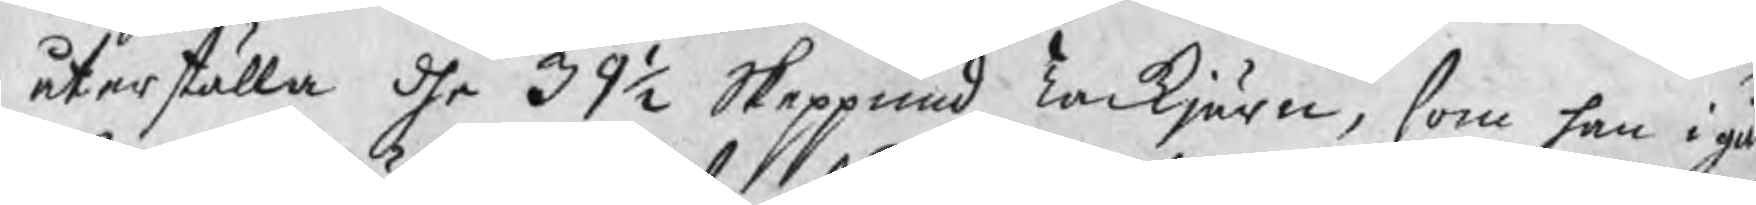återställa dhe 39½ Skeppund Tackjärn, som han igå
